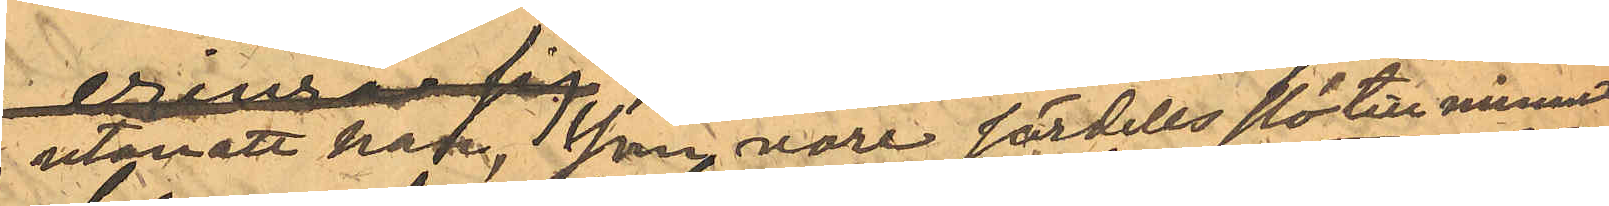utan att han,  som vore särdeles slö till minnet
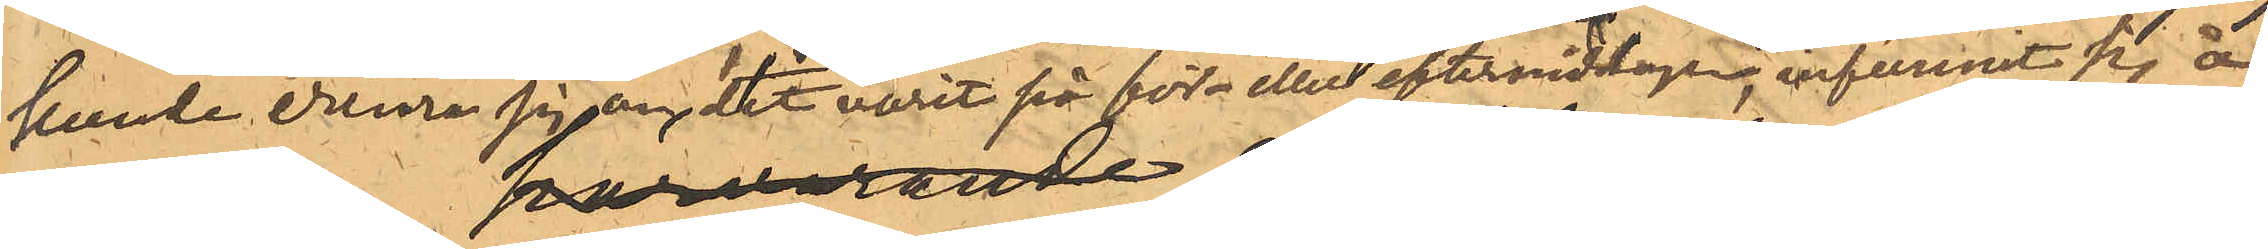kunde erinra sig det varit på för- eller eftermiddagen, infunnit sig å
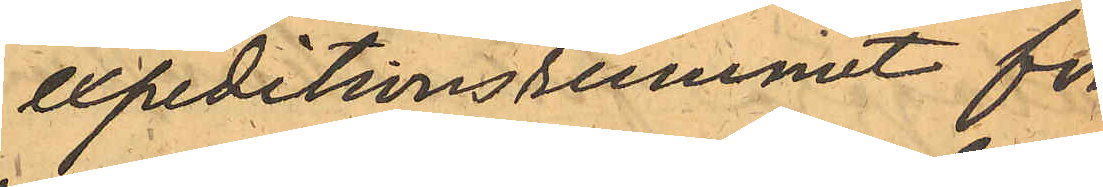expeditionsrummet för
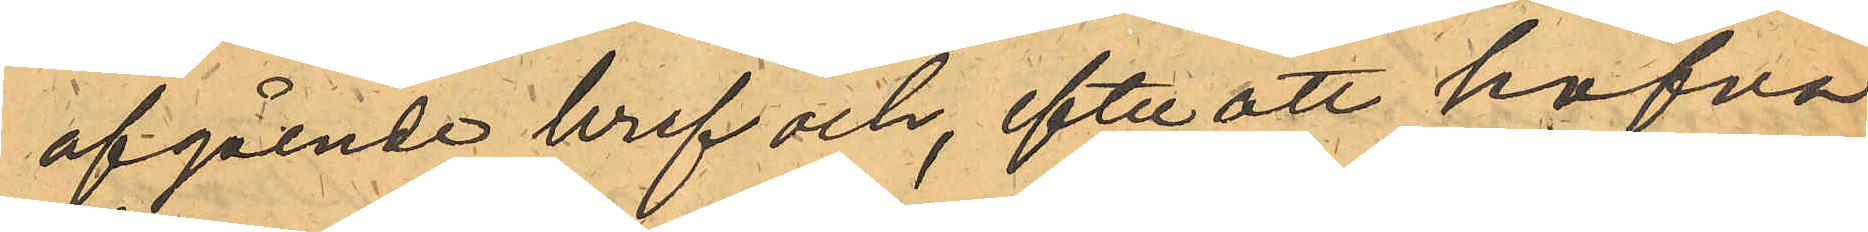afgående bref och, efter att hafva
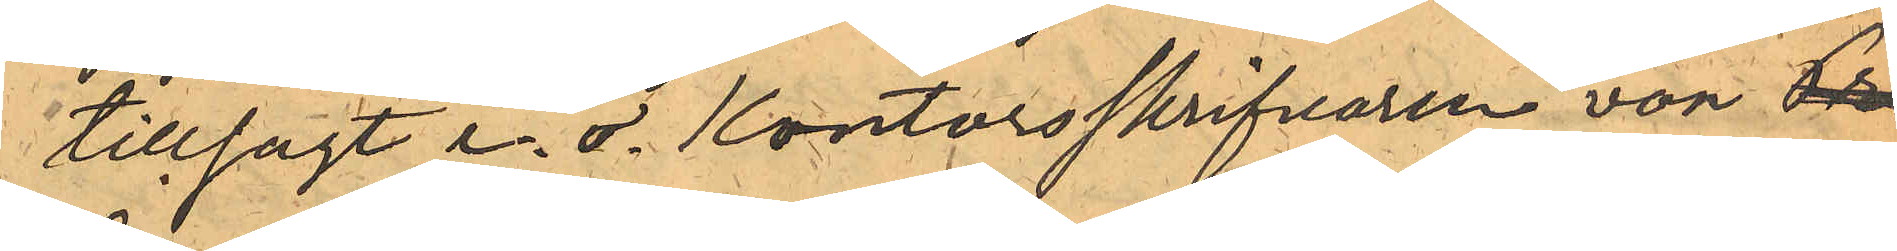tillsagt e. o. Kontorsskrifvaren von Pro¬
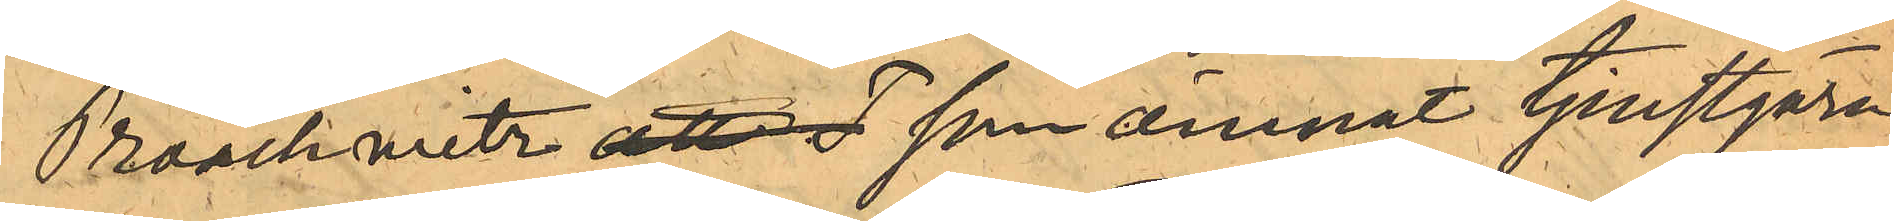Proschwitz, att T som ämnat tjenstgöra
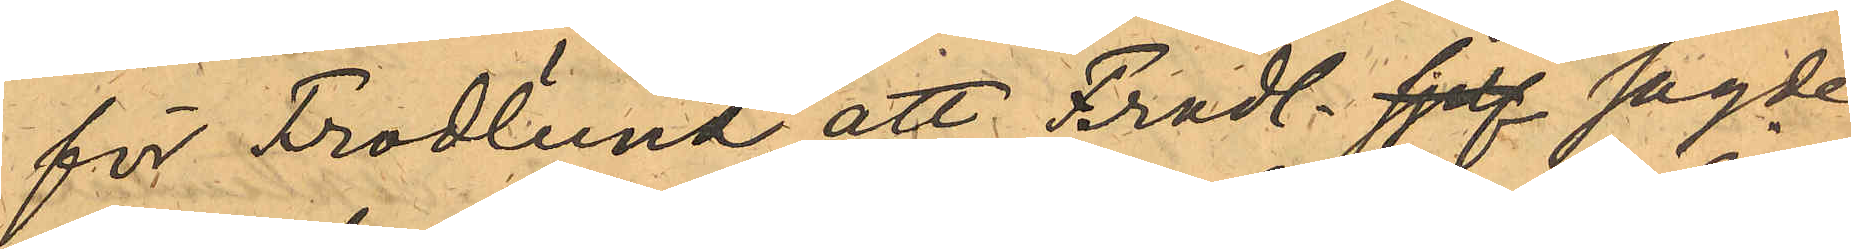för Frodlund, att Frodl. sjelf sagde
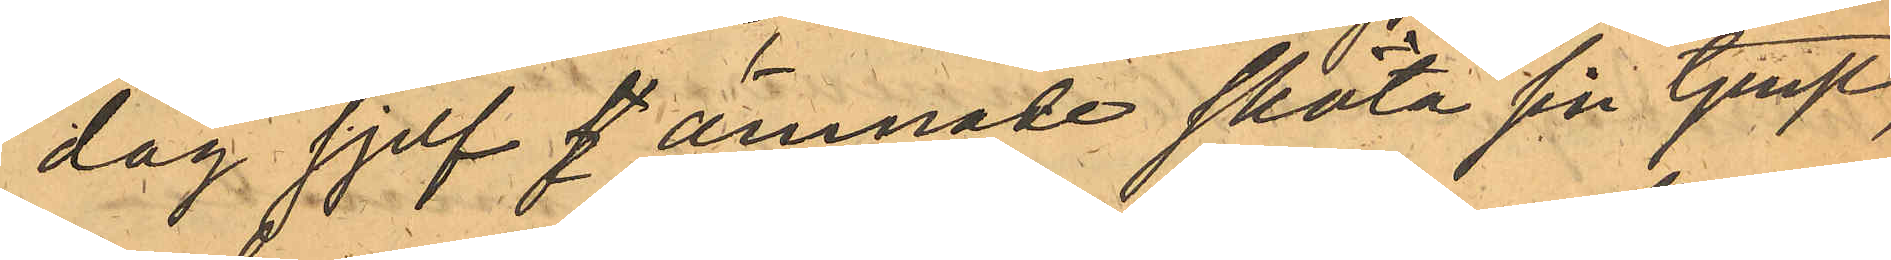dag sjelf f ämnade sköta sin tjenst,
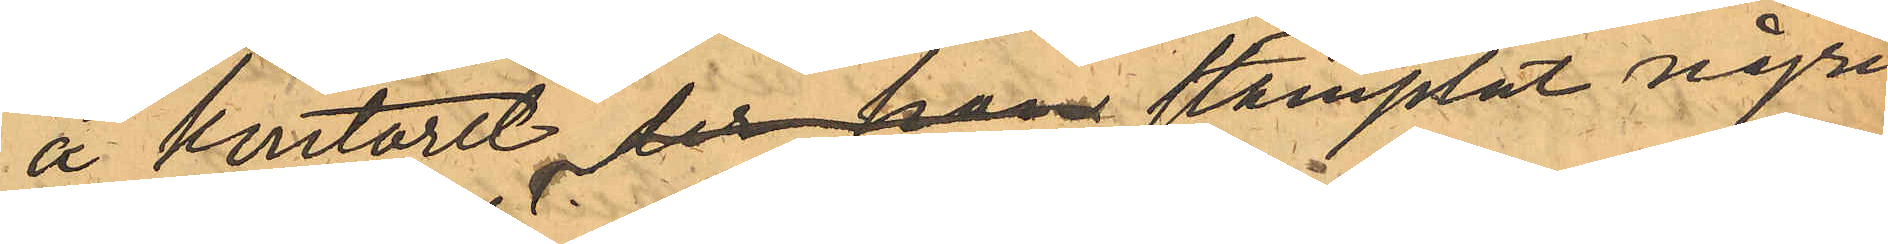å kontoret, der han stämplat några
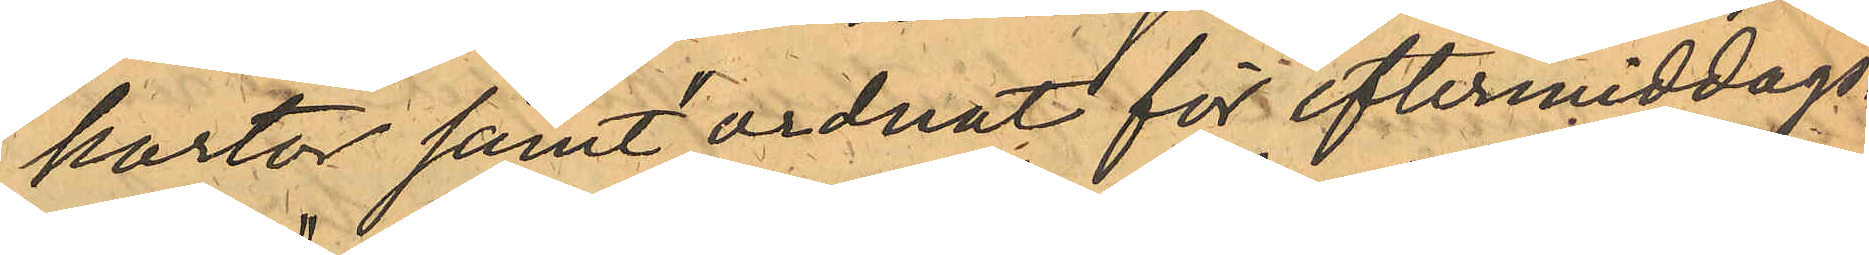kartor samt "ordnat för eftermiddags¬
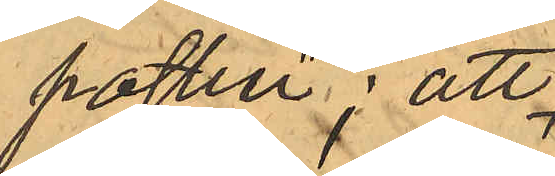posten"; att
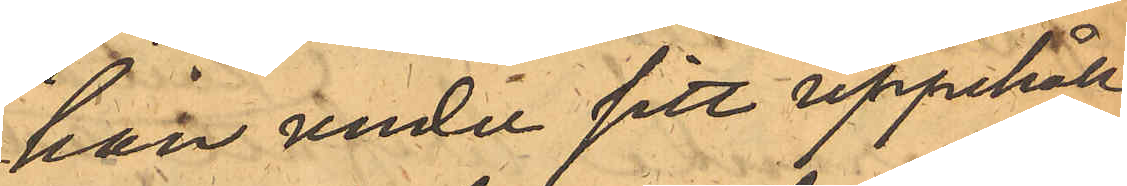han under sitt uppehåll
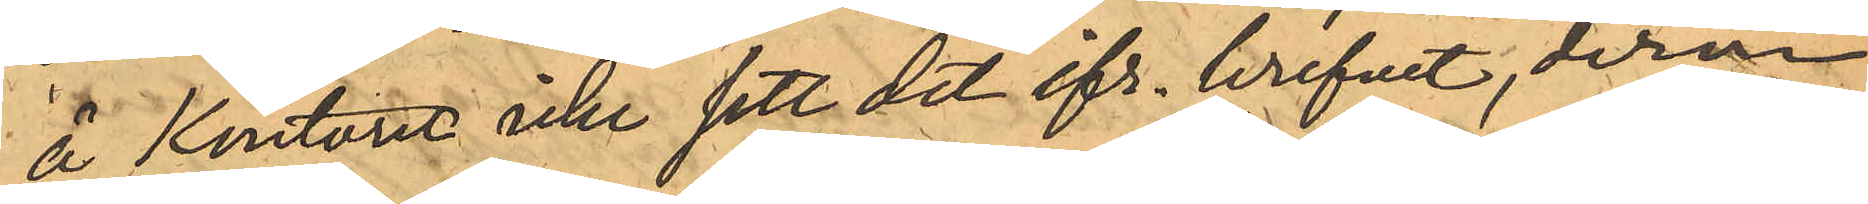å Kontoret icke sett det ifr. brefvet, derom
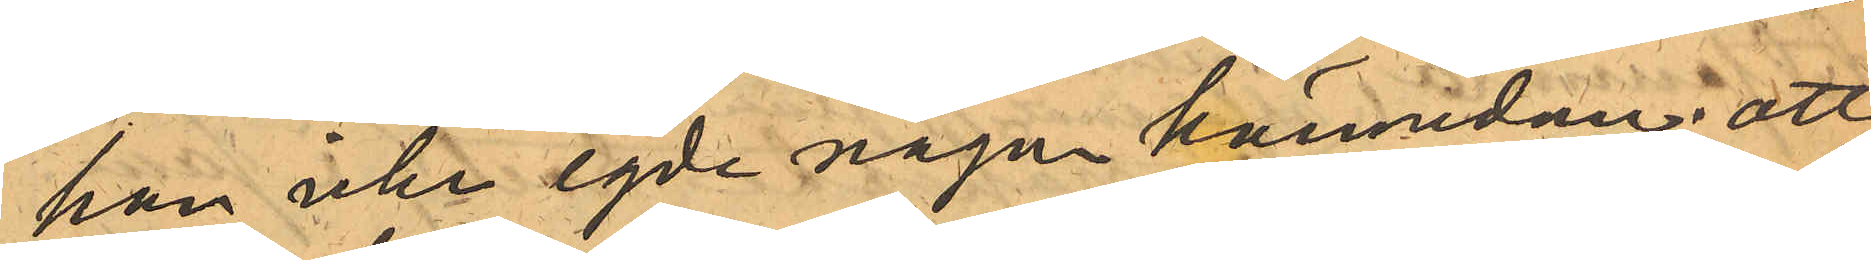han icke egde någon kännedom; att
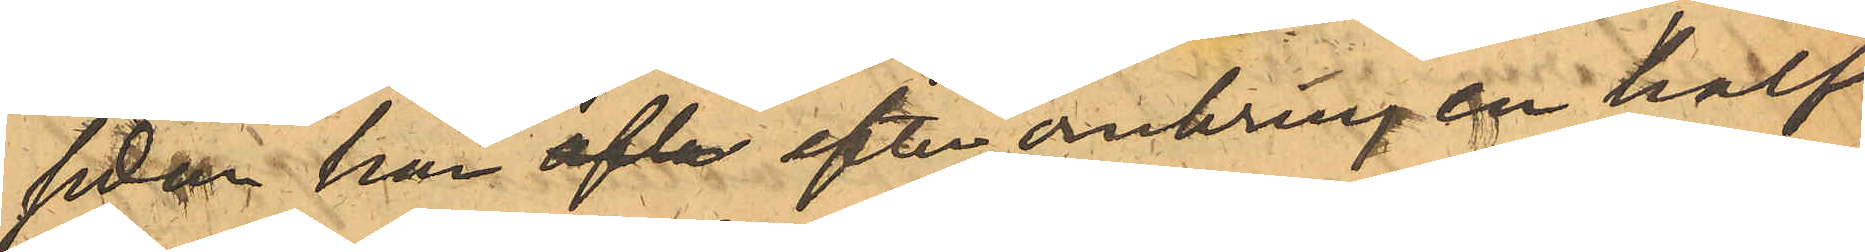sedan har ofta efter omkring en half
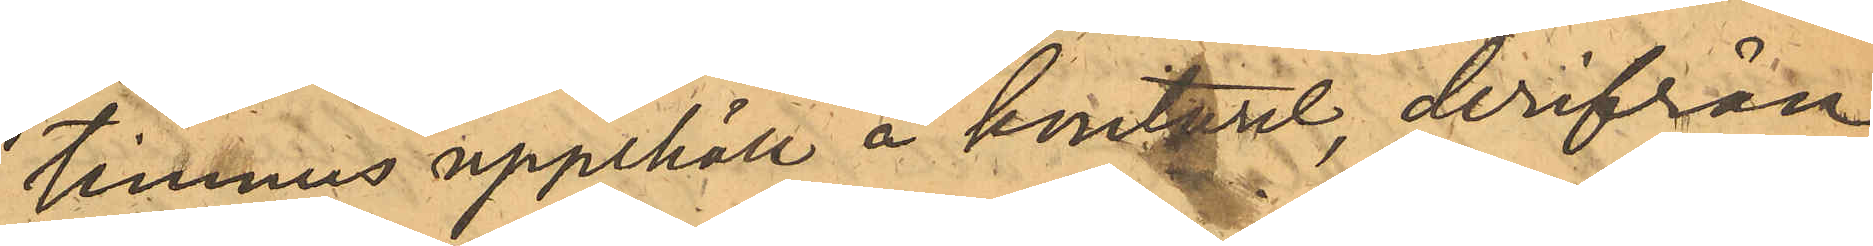timmes uppehåll å kontoret, derifrån
